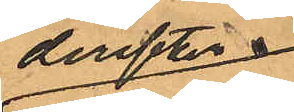derefter
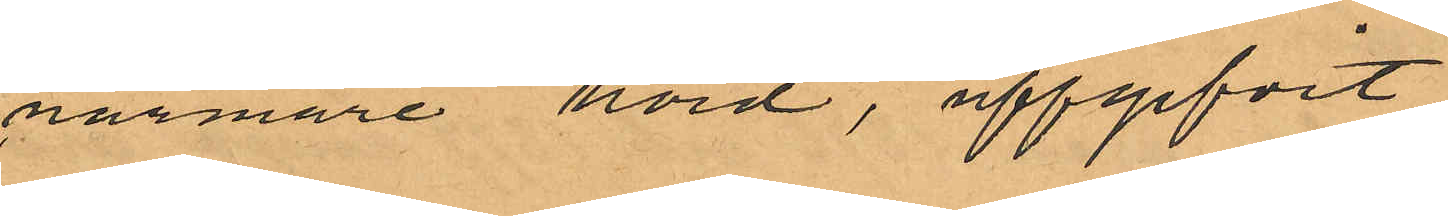närmare hörd, uppgifvit,
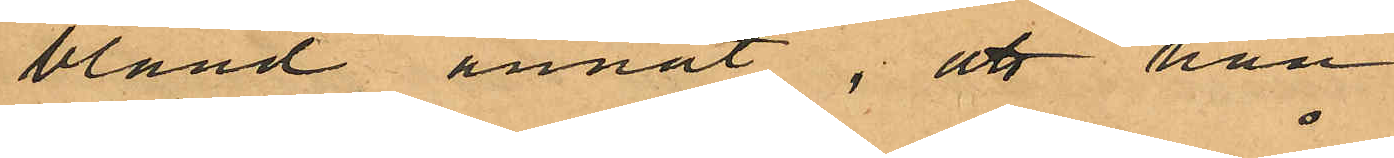bland annat, att han
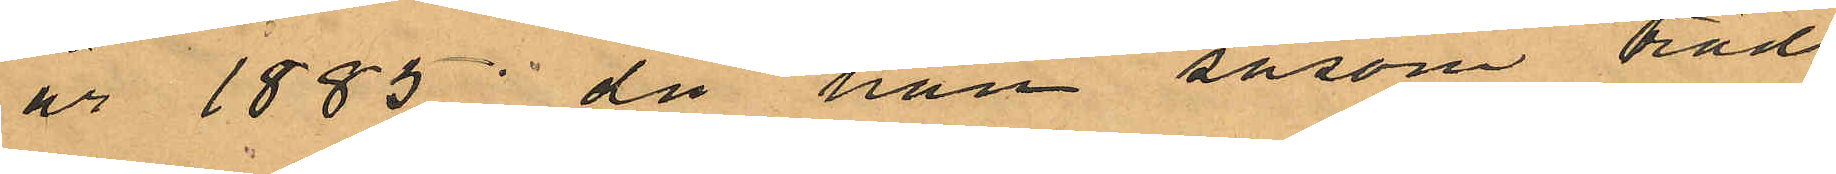år 1885, då han såsom träd
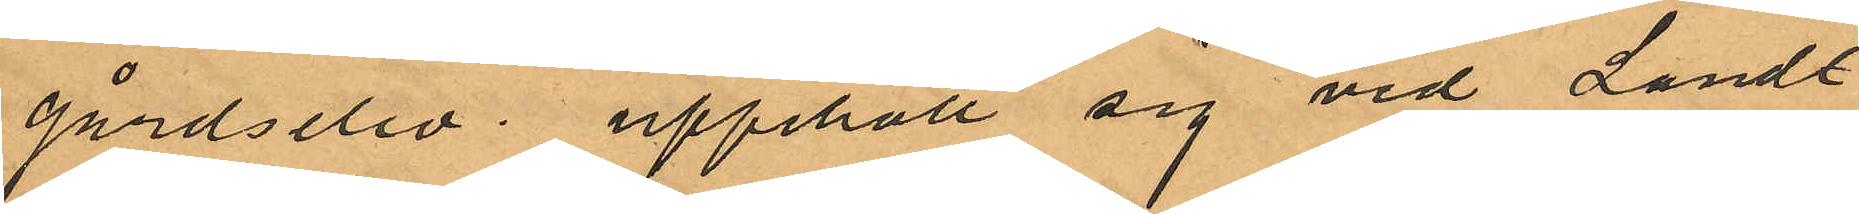gårdselev upphöll sig vid Landt
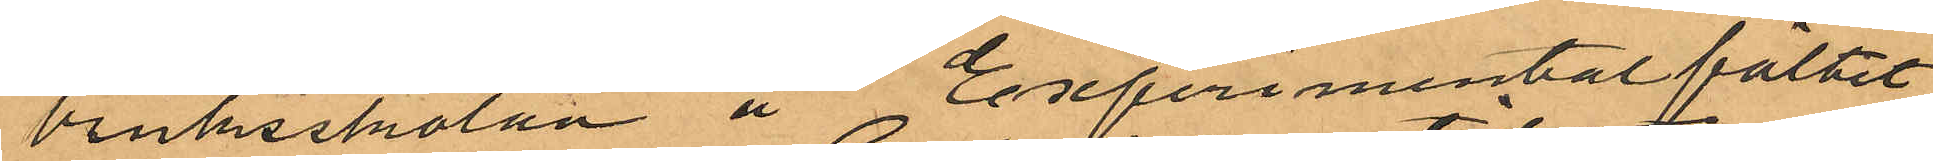bruksskolan å Eseferimentalfältet
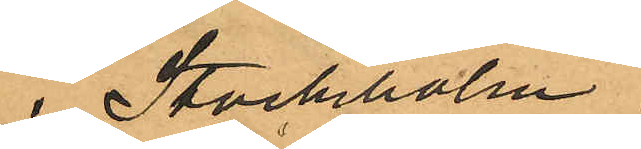i Stockholm,
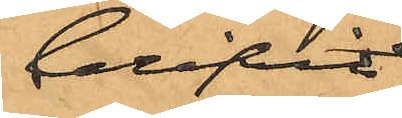blifvit
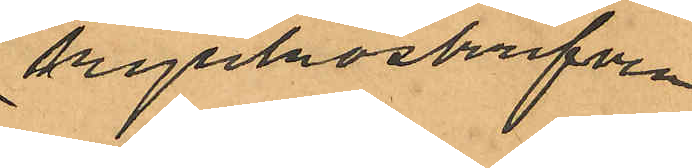kyrkoskrifven
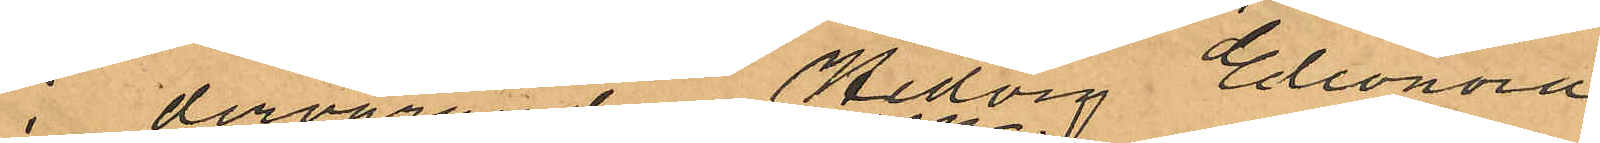i dervarande Hedvig Eleonora
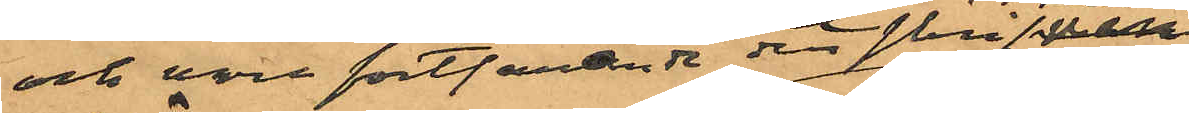och vore fortfarande och skrifven
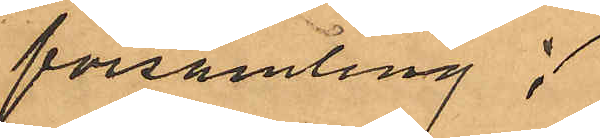församling;
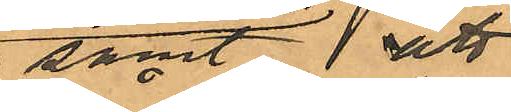samt att
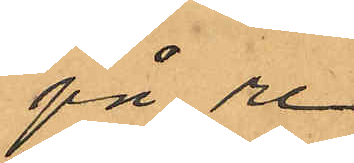på re¬
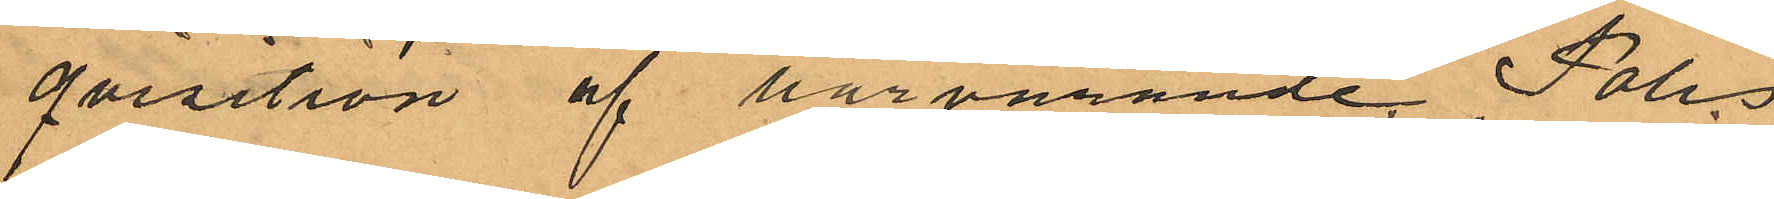qvisition af härvarande Polis¬
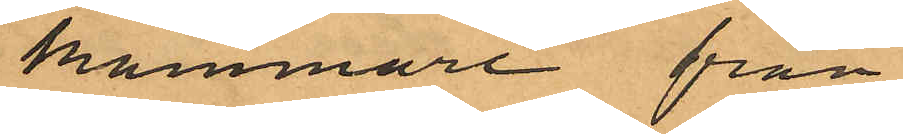kammare från
